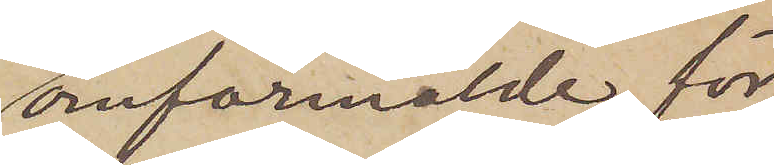omförmälde, för
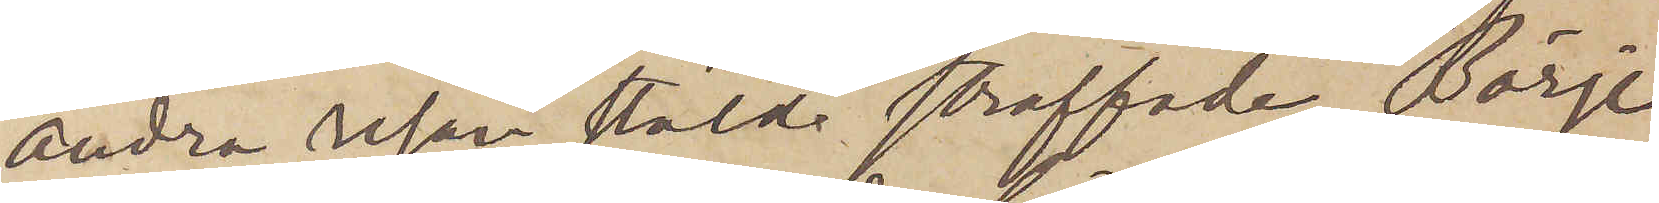andra resan stöld straffade Börje
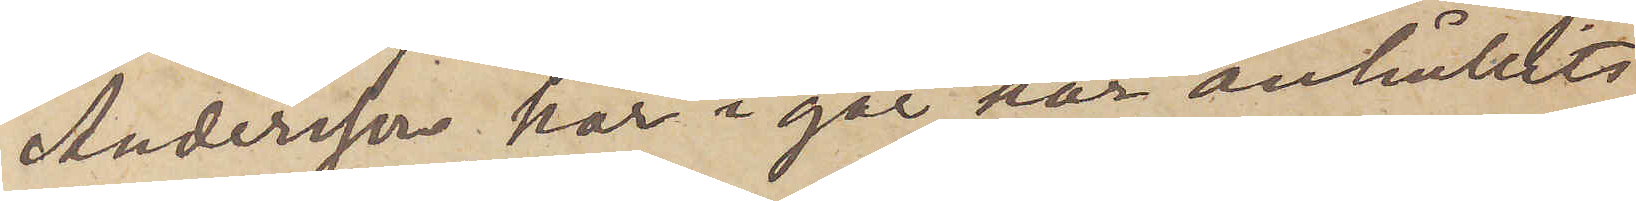Andersson har i går här anhållits
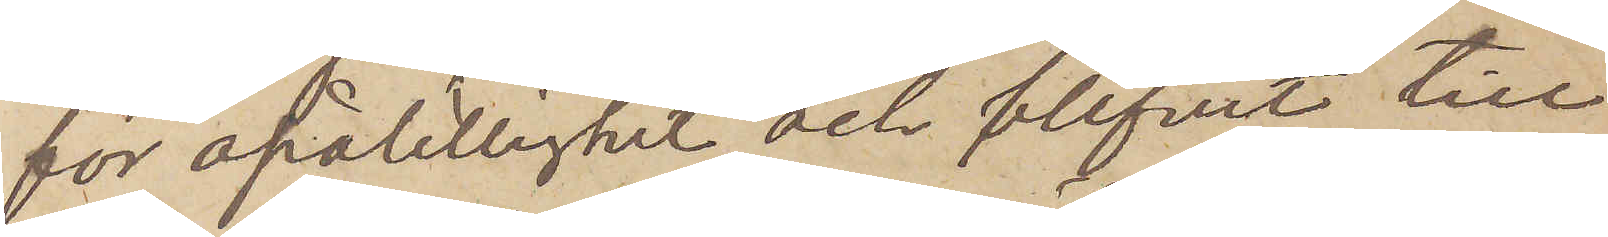för opålitlighet och blifvit till
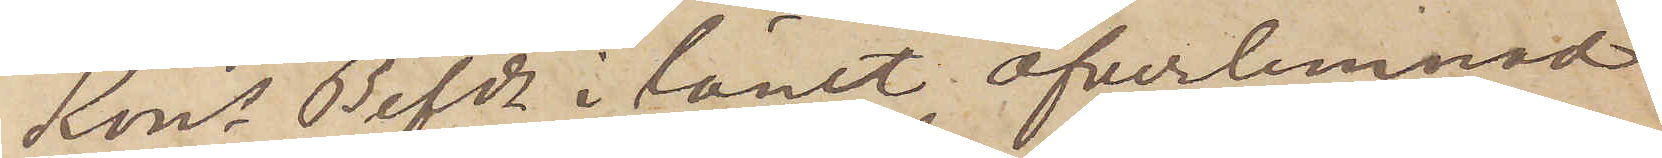Kons Befde i länet öfverlemnad
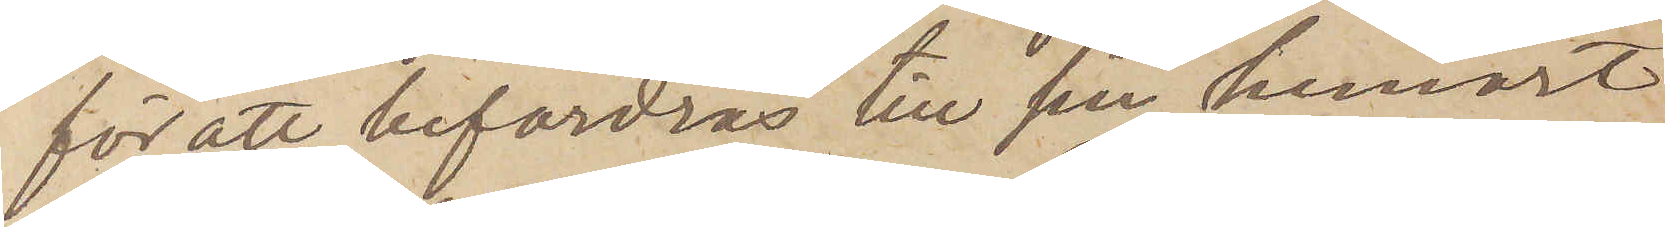för att befordras till sin hemort
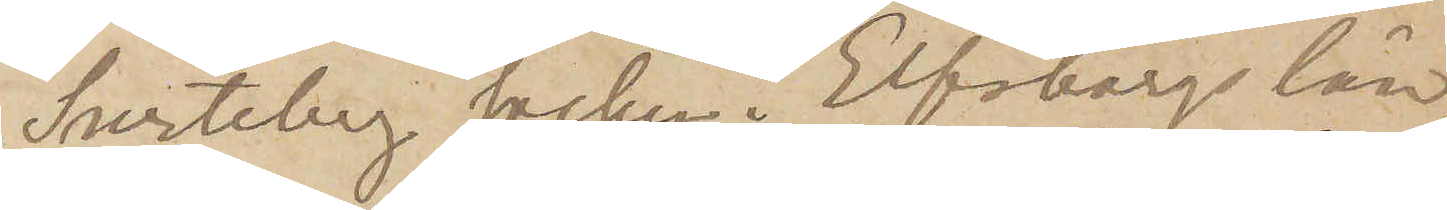Surteby socken i Elfsborgs län.
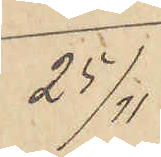25/11
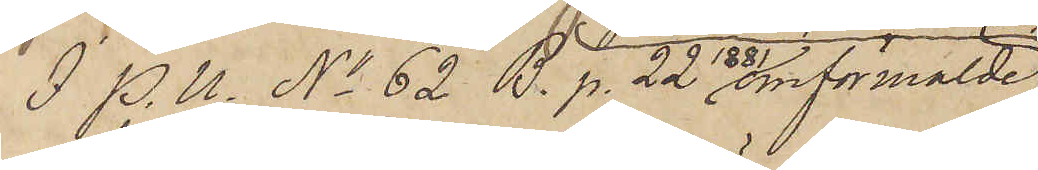I P. U. No 62 B. p. 22 1881 omförmälde
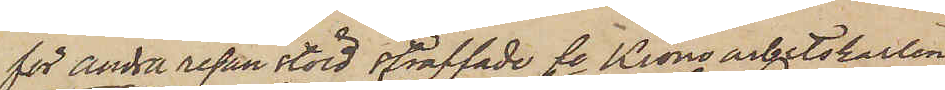för andra resan stöld straffade fe Kronoarbetskarlen
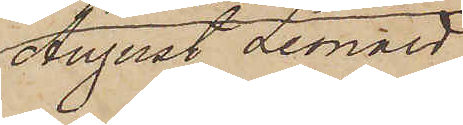August Leonard
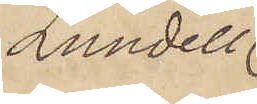Lundell
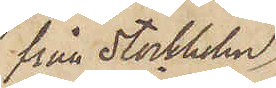från Stockholm,
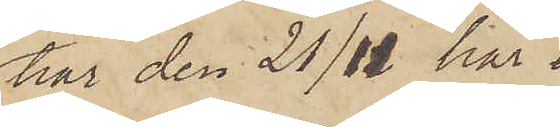har den 21/11 här 
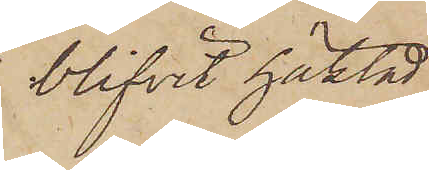blifvit häktad
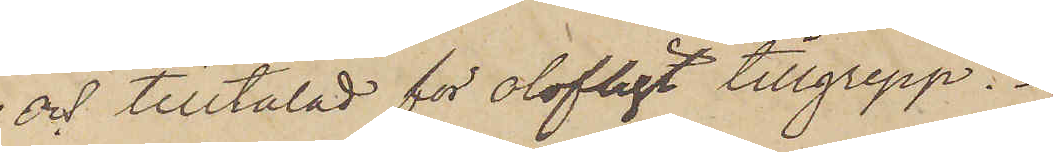och tilltalad för olofligt tillgrepp.
